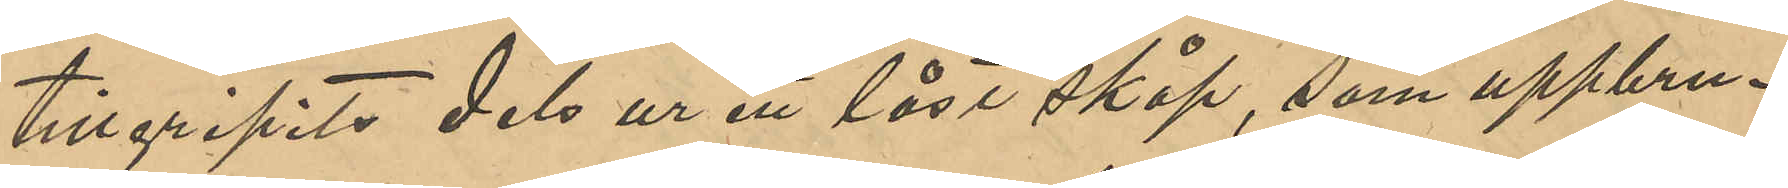tillgripits dels ur ett låst skåp, som uppbru¬
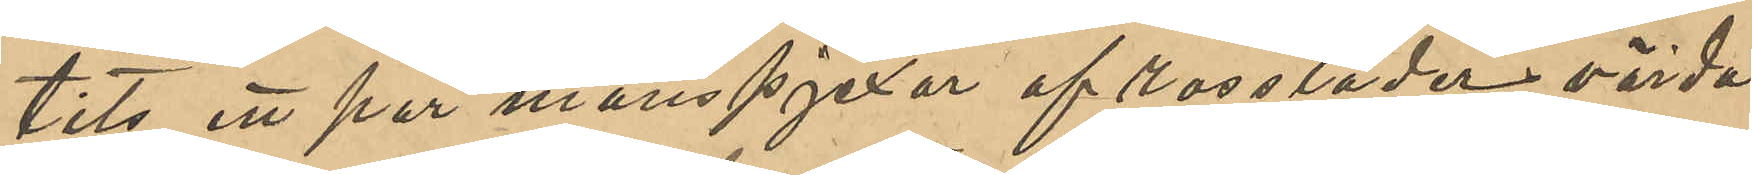tits ett par manspjexor af rossläder, värda
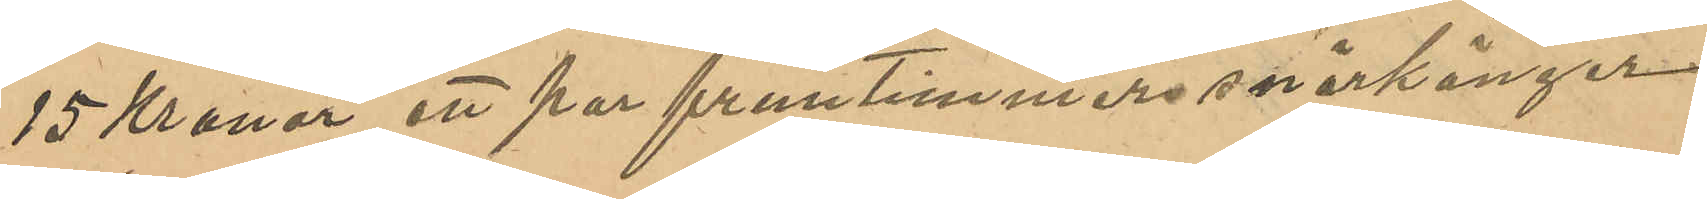15 Kronor, ett par fruntimmerssnörkänger
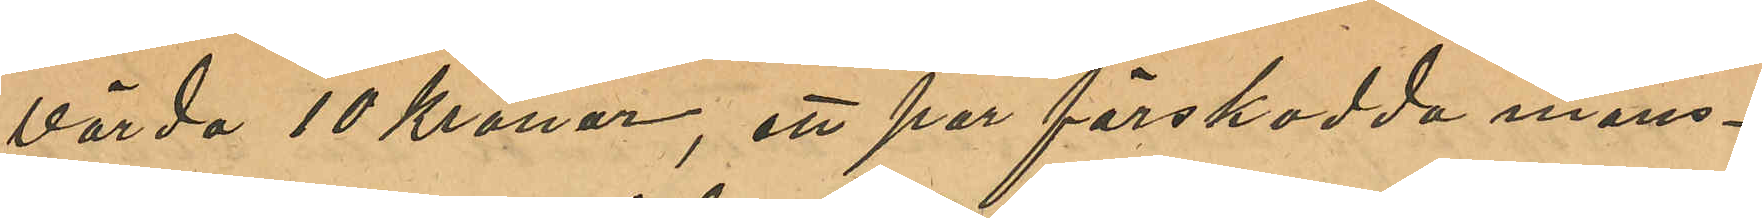värda 10 Kronor, ett par förskodda mans¬
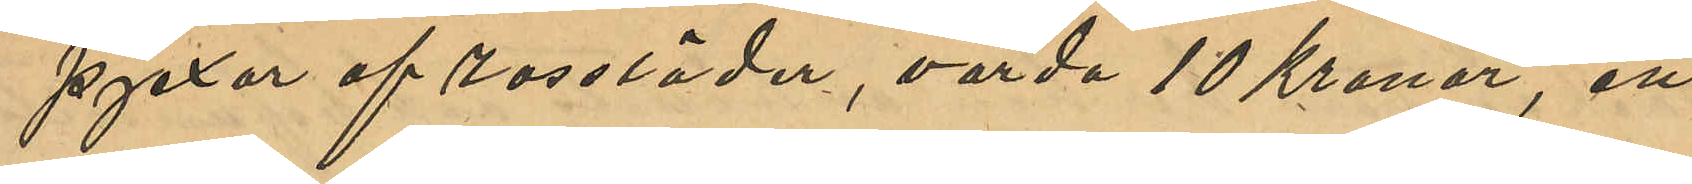pjexor af rossläder, värda 10 Kronor, ett
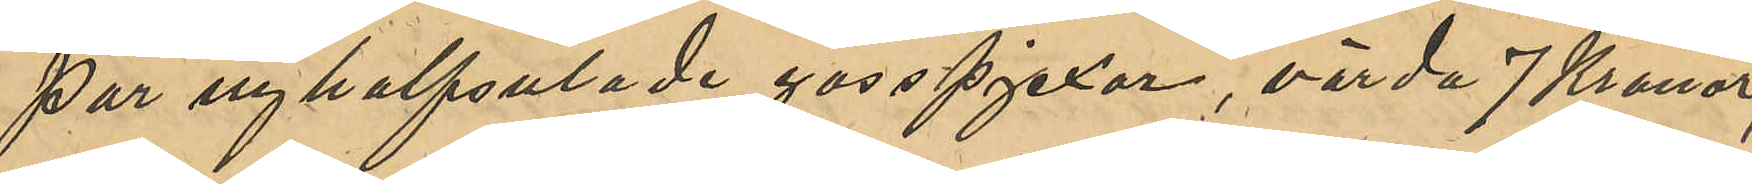par nyhalfsulade gosspjexor, värda 7 Kronor,
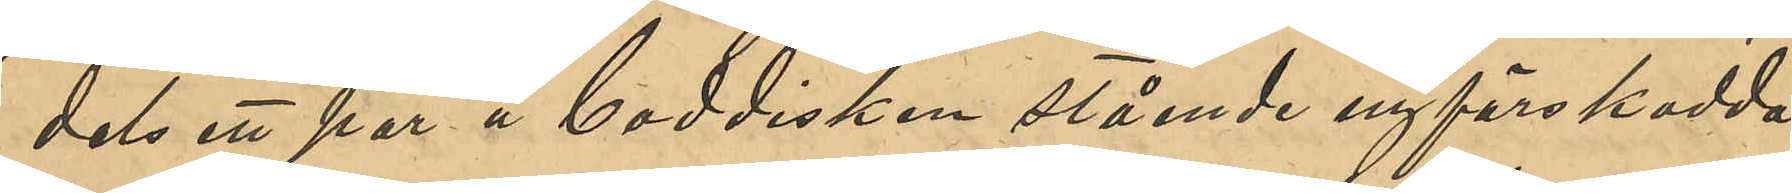dels ett par å boddisken stående nyförskodda
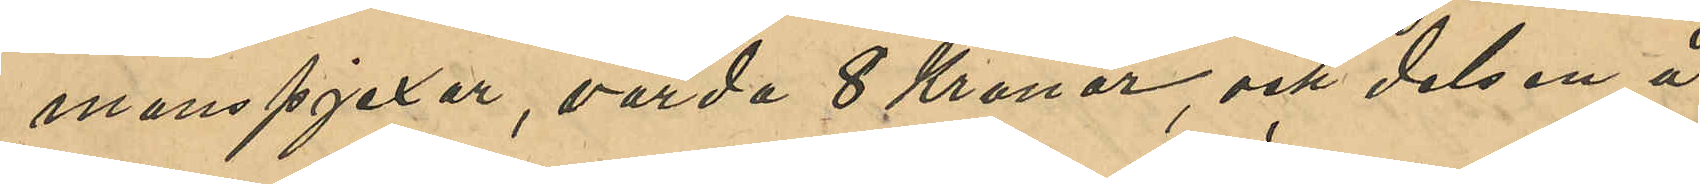manspjexor, värda 8 Kronor, och dels en å
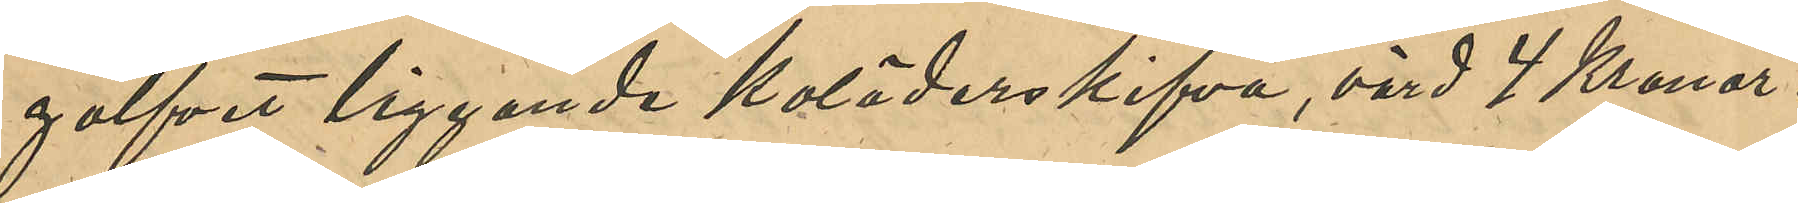golfvet liggande koläderskifva, värd 4 Kronor.
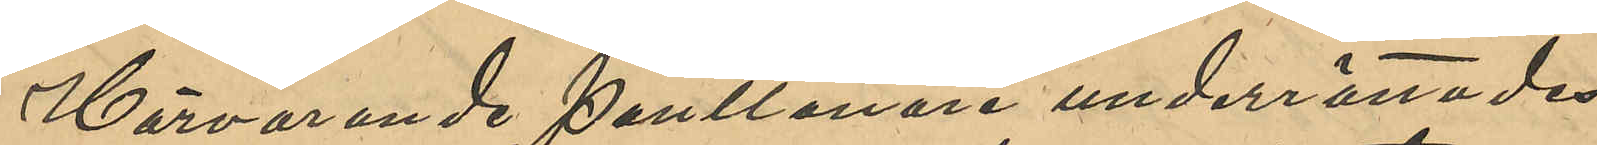Härvarande Pantlånare underrättade
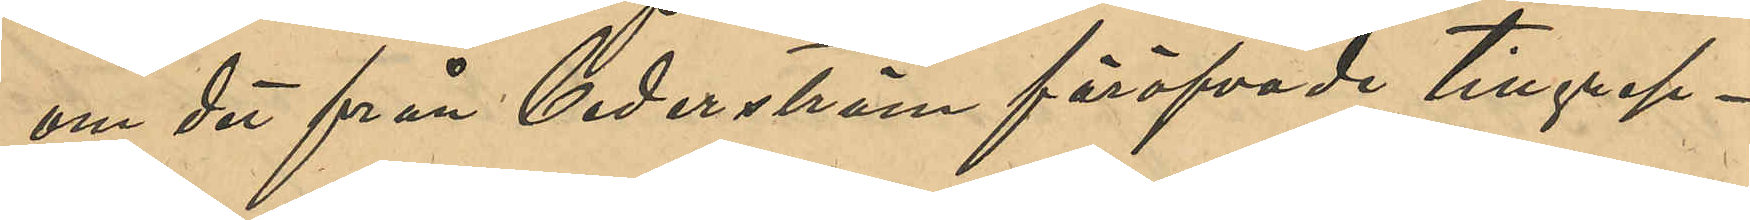om det från Cederström föröfvade tillgrep¬
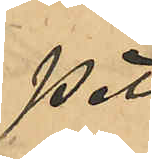pet.
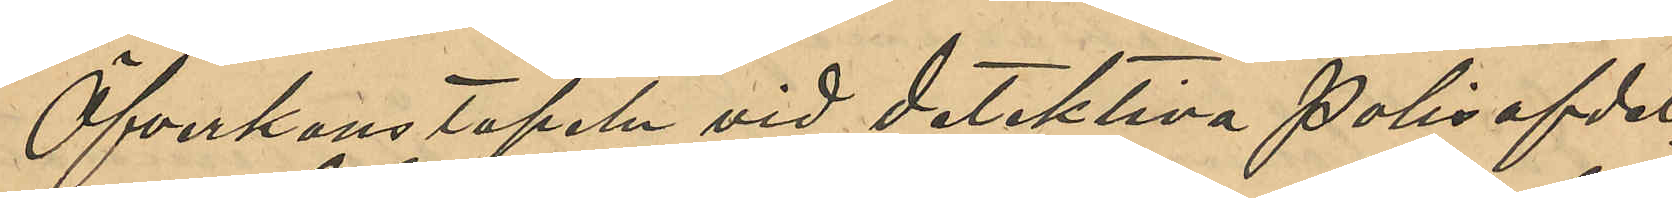Öfverkonstapel vid detektiva Polisafdel¬
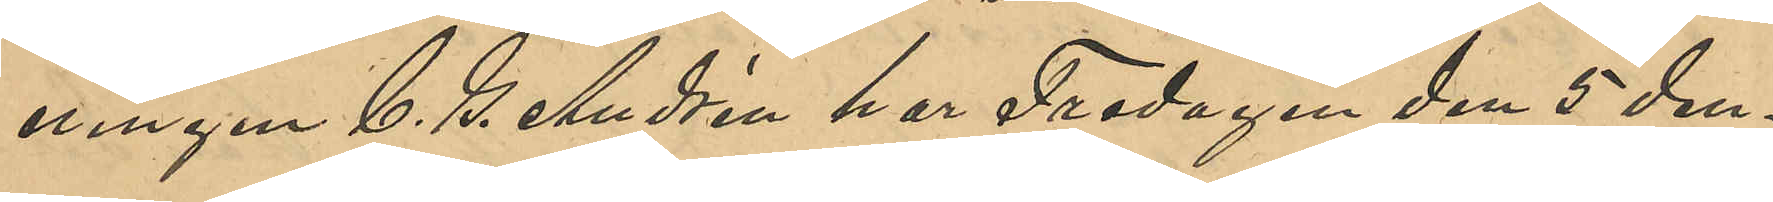ningen C. G. Andrén har Fredagen den 5 den¬
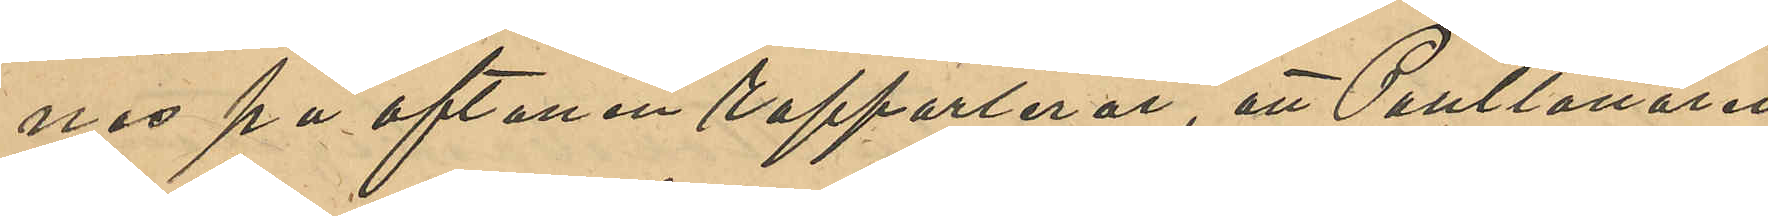nes på aftonen rapporterat, att Pantlånaren
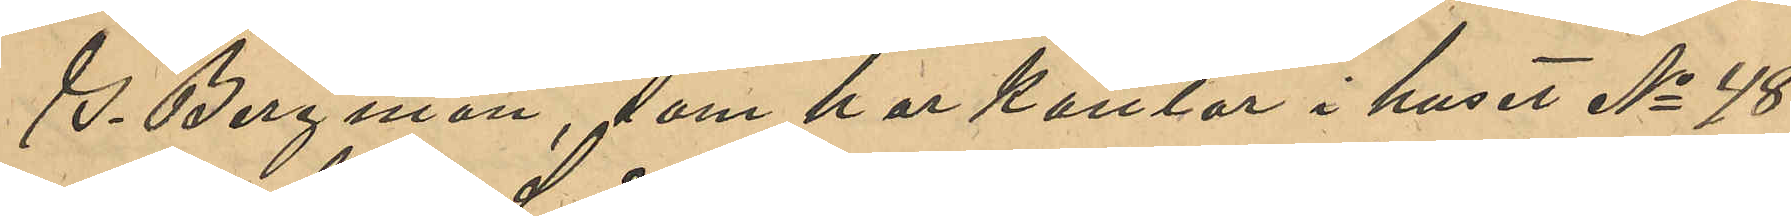G. Bergman, som har kontor i huset No 48
